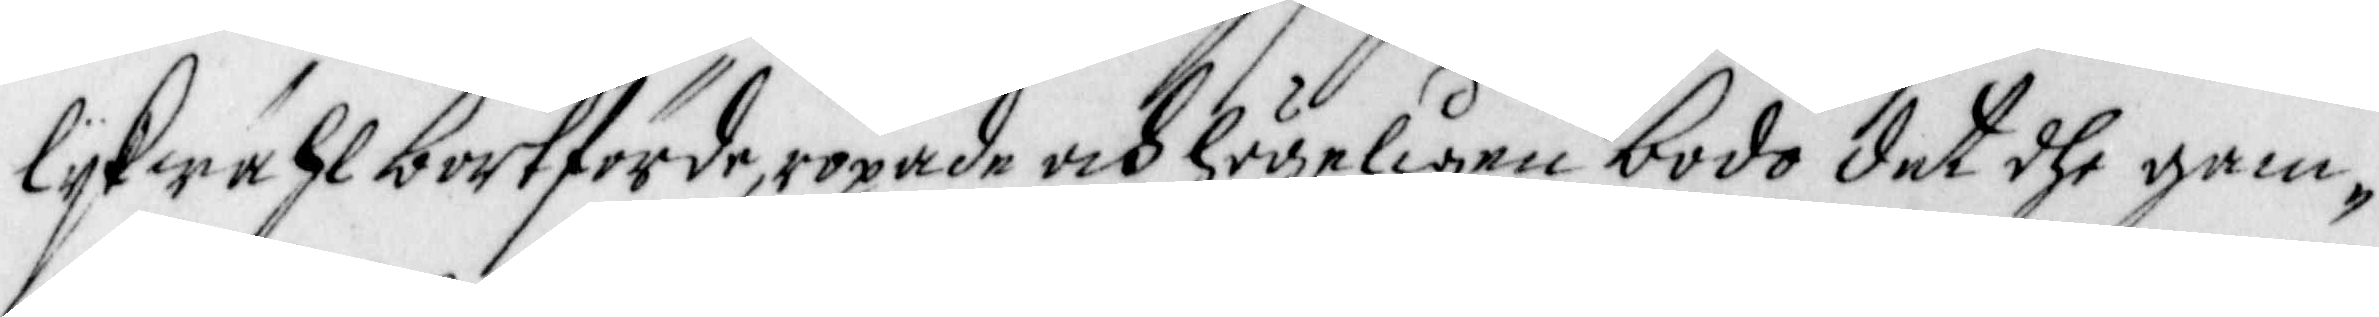lijkwähl bortförde, ropade och högeligen bodo det dhe gam¬
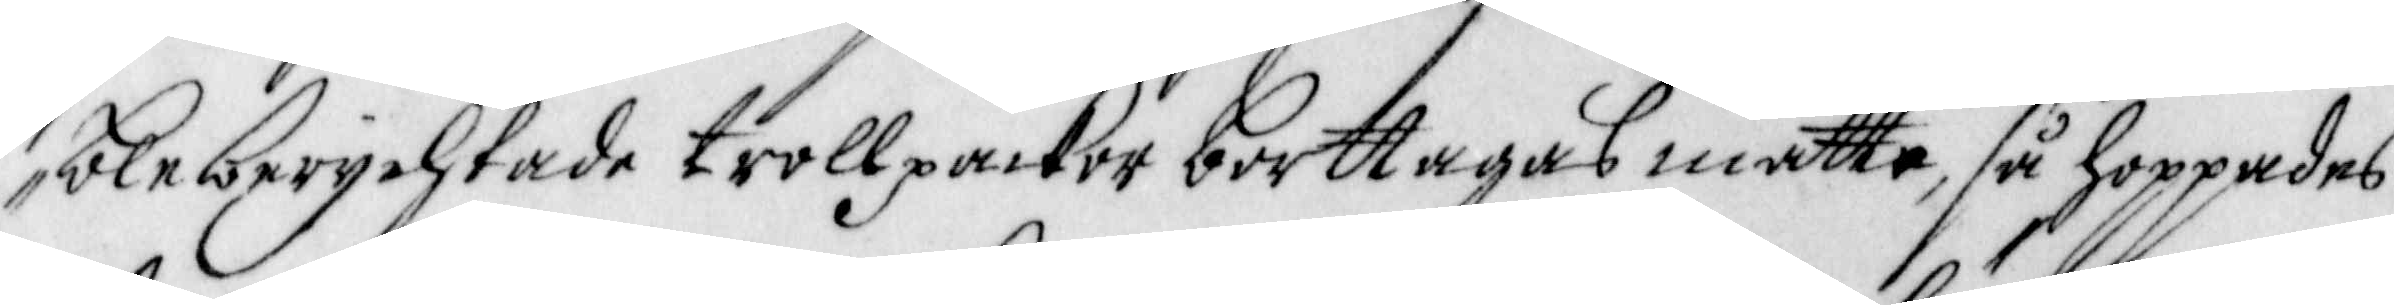ble berychtade trollpackor borttagas måtte, så hoppades
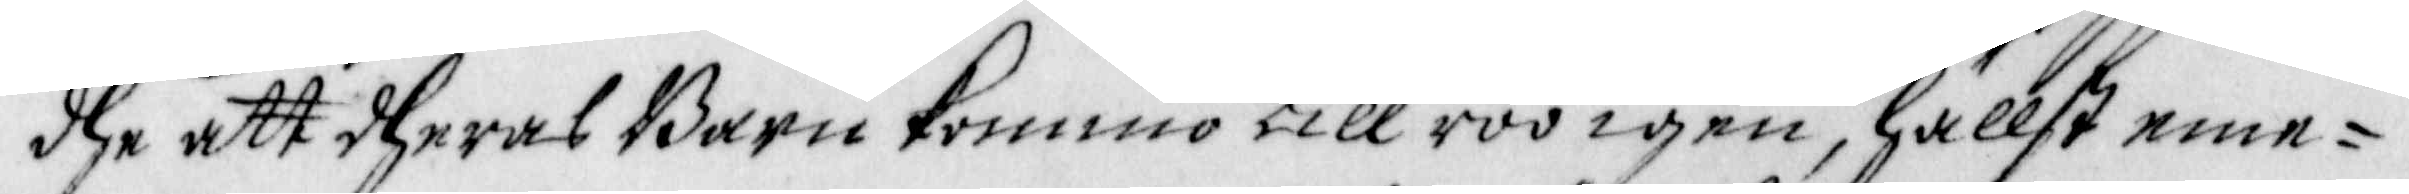dhe att dheras Barn kommo till roo igen, hällst eme¬
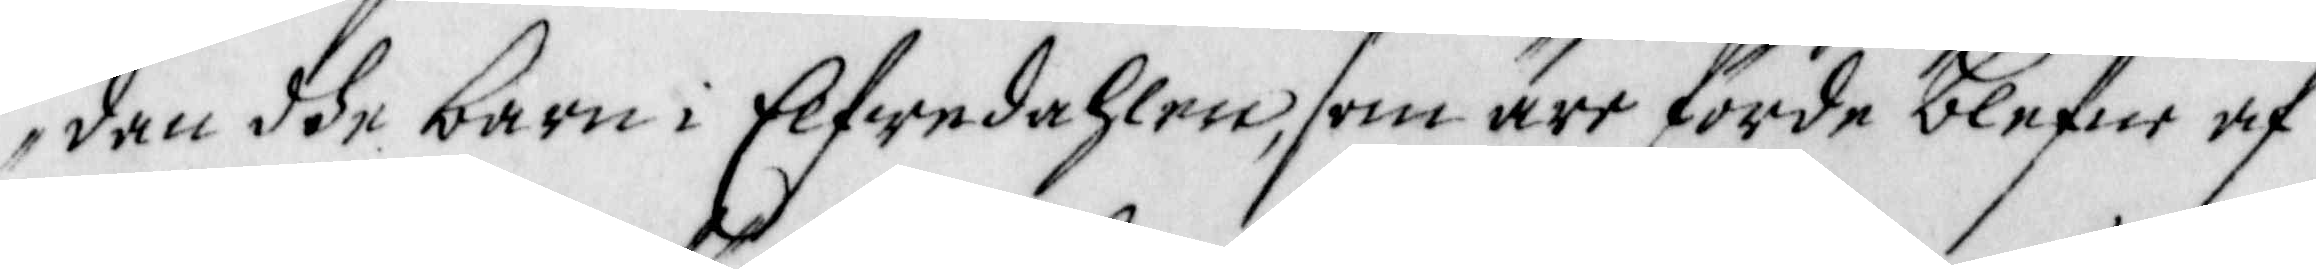dan dhe barn i Elfwedahlen, som äre förde blefne af
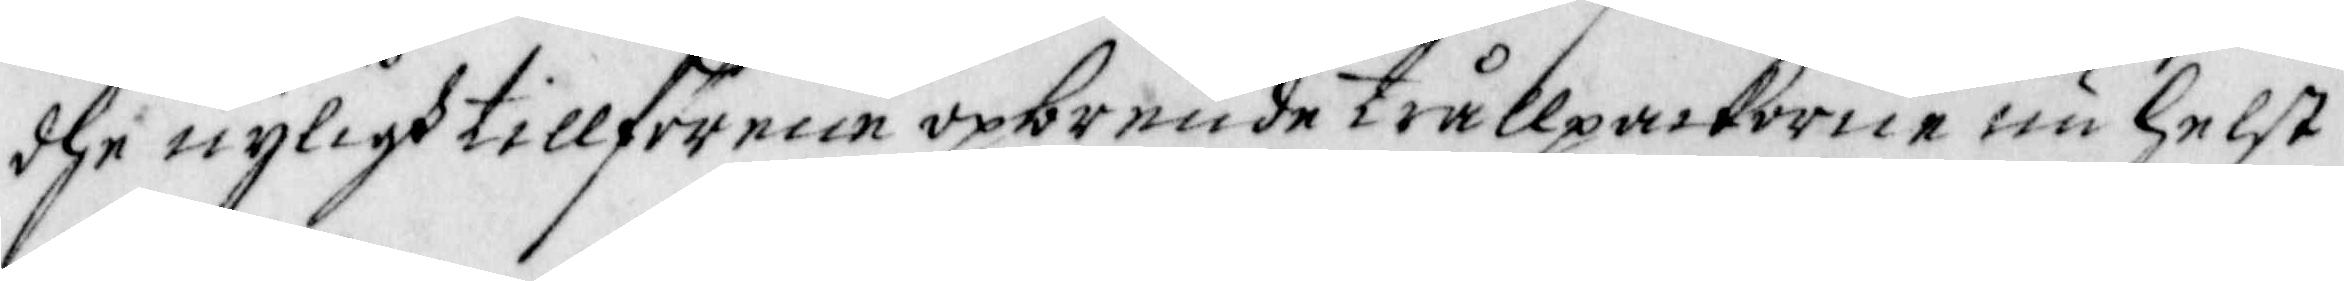dhe nyligh tillförene opbrende trållpackorne nu helst
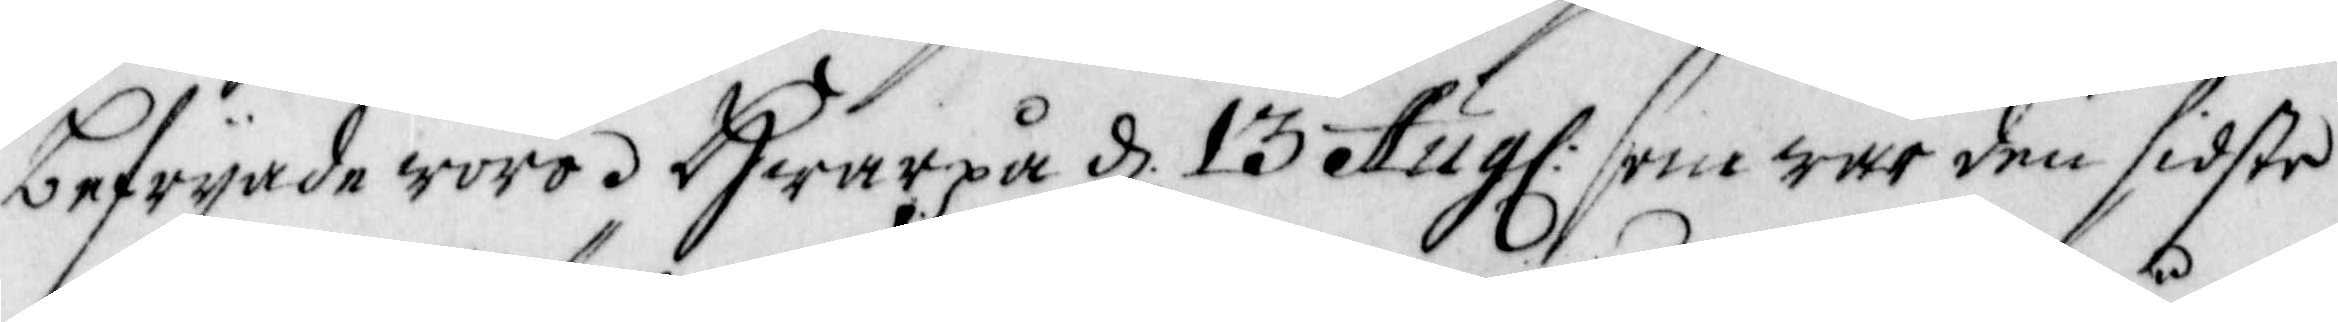befrijade woro. Hwarpå d. 13 Aug: som war den sidste
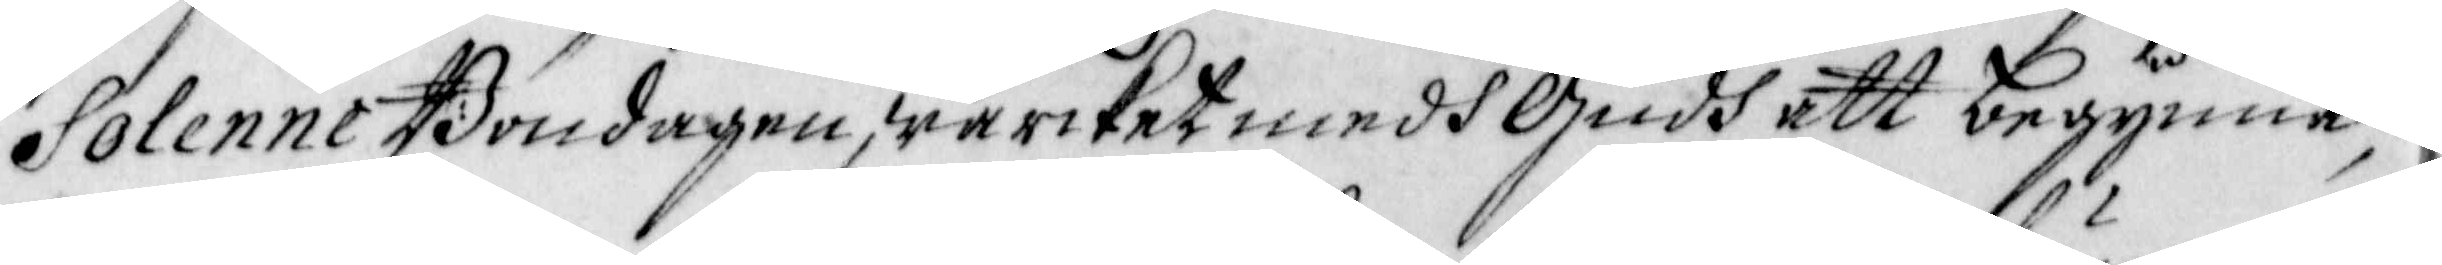Solenne Böndagen, wärcket medh Gudh att begynna,
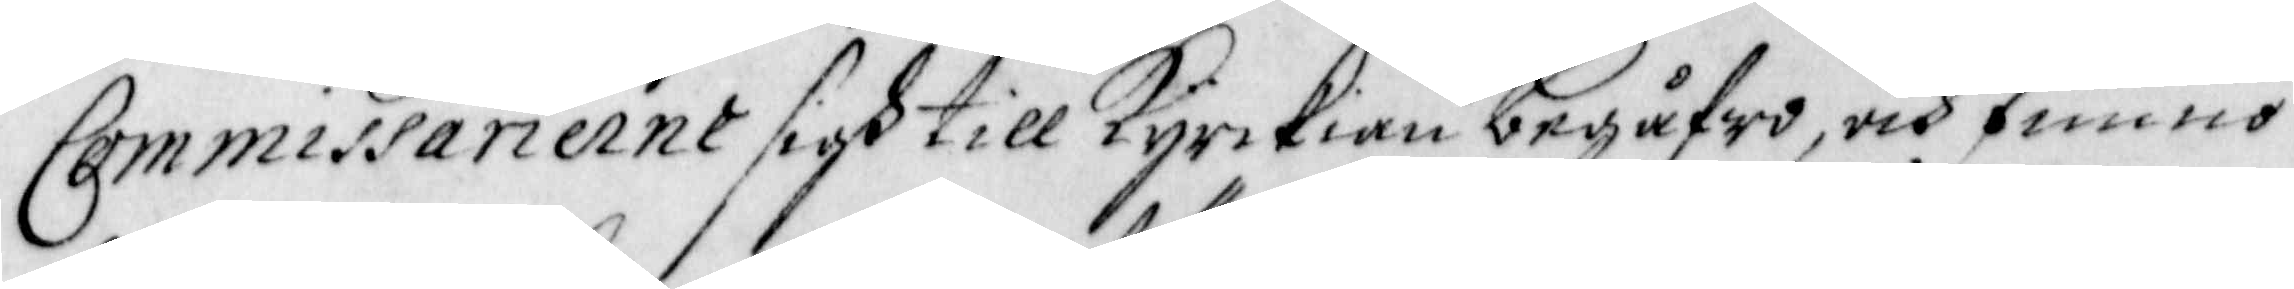Commissarierne sigh till Kyrckian begåfwo, och funno
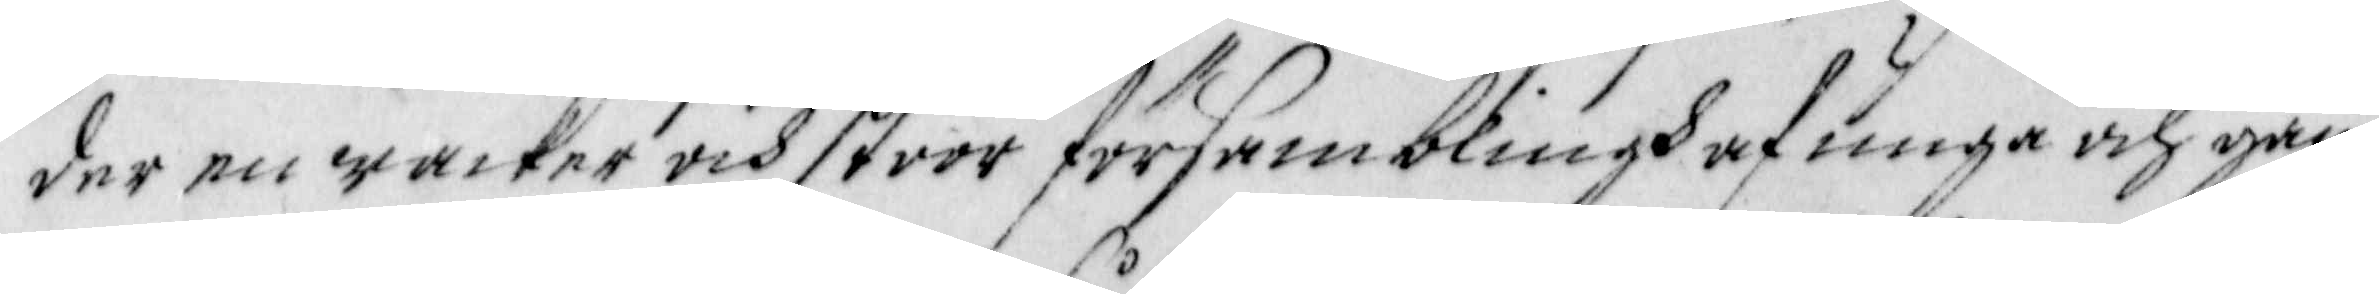der en wacker och stoor församblingh af unga och gam¬
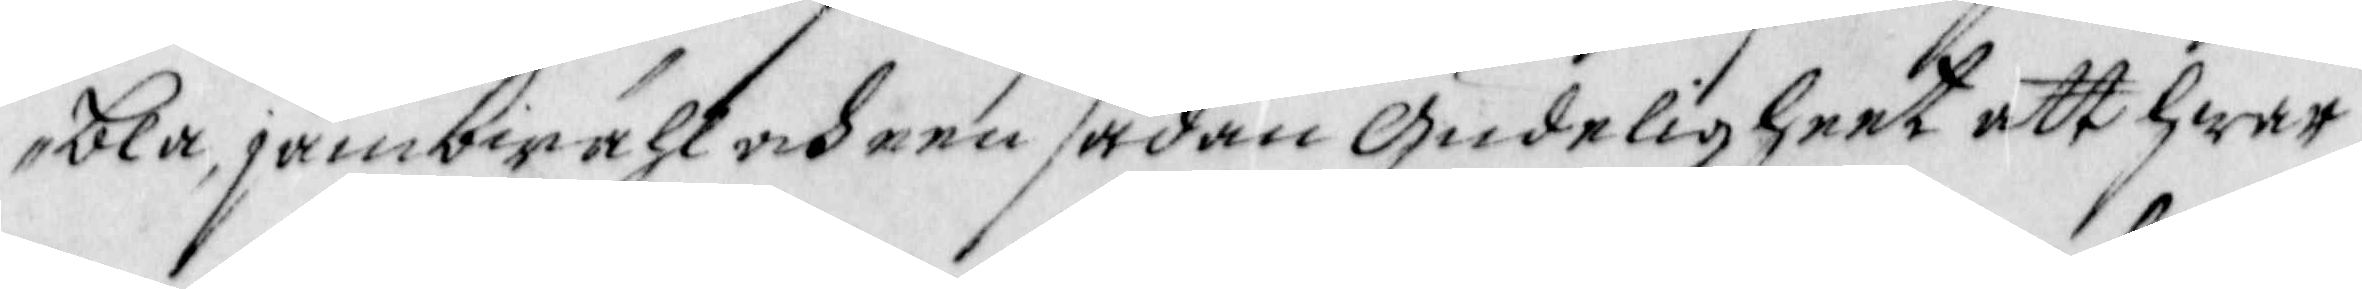bla, jämbwähl och een sådan Gudeligheet att hwar
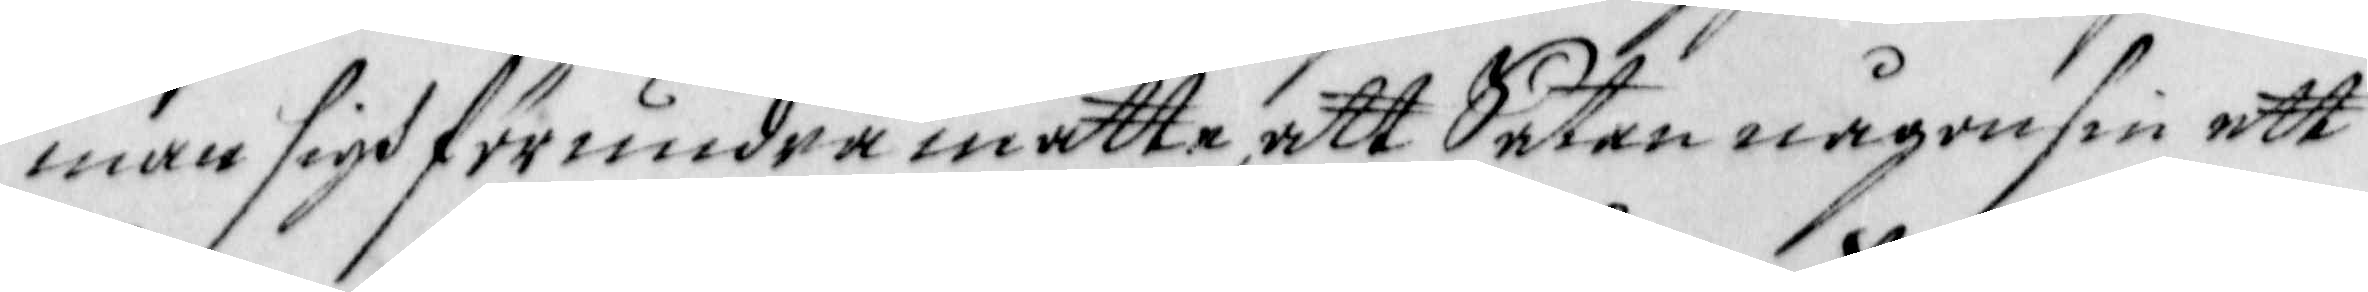man sigh förundra måtte, att Satan någonsin ett
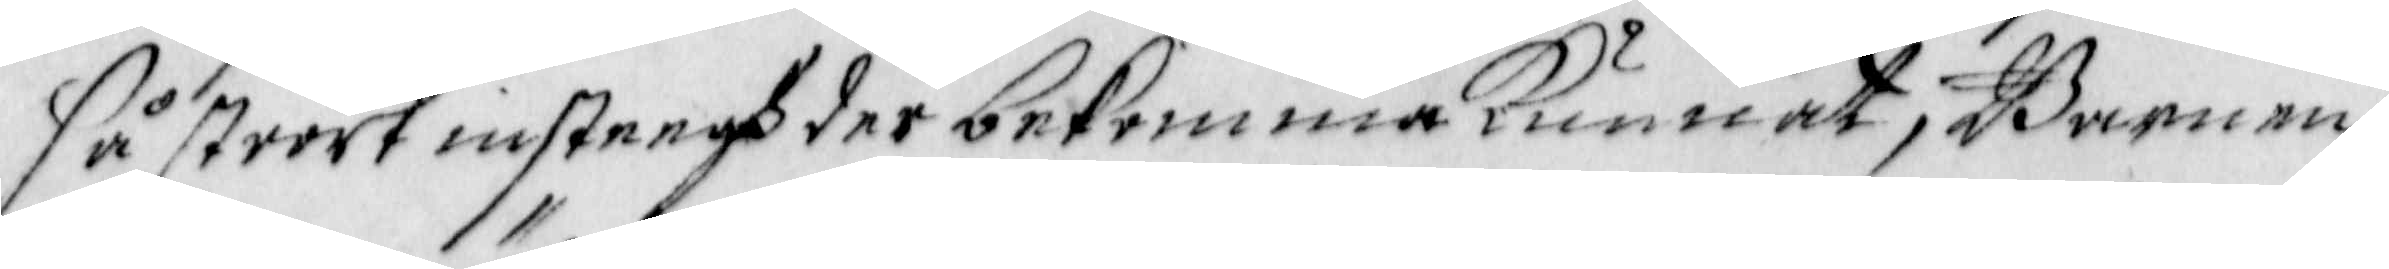så stoort insteegh der bekomma Kunnat; Barnen
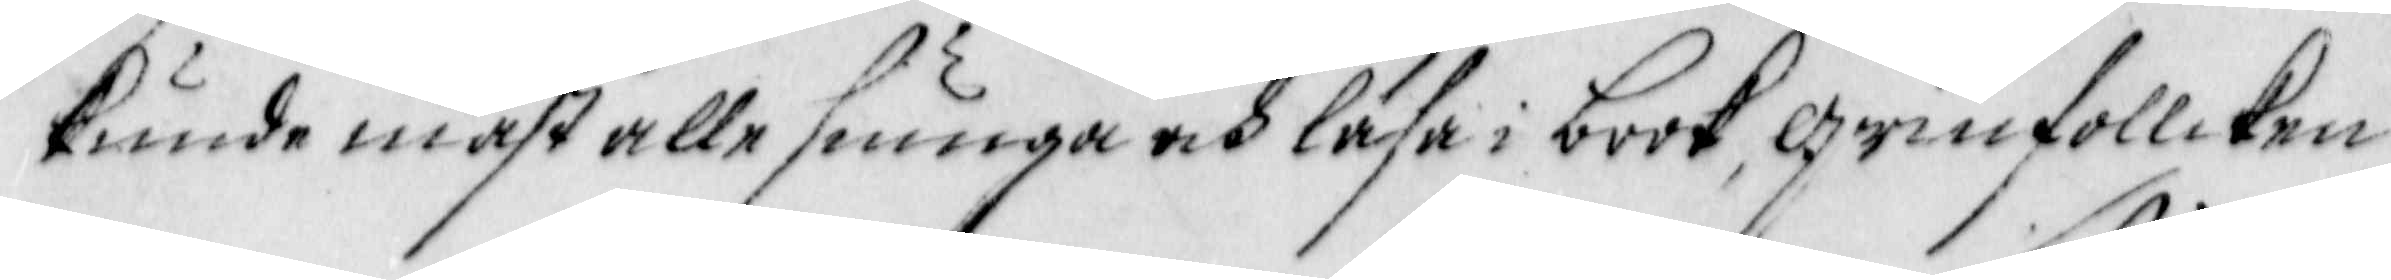kunde mäst alle siunga och läsa i book, Qwinfollcken
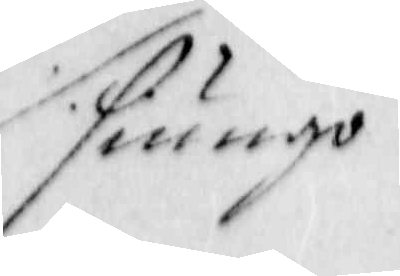siungo
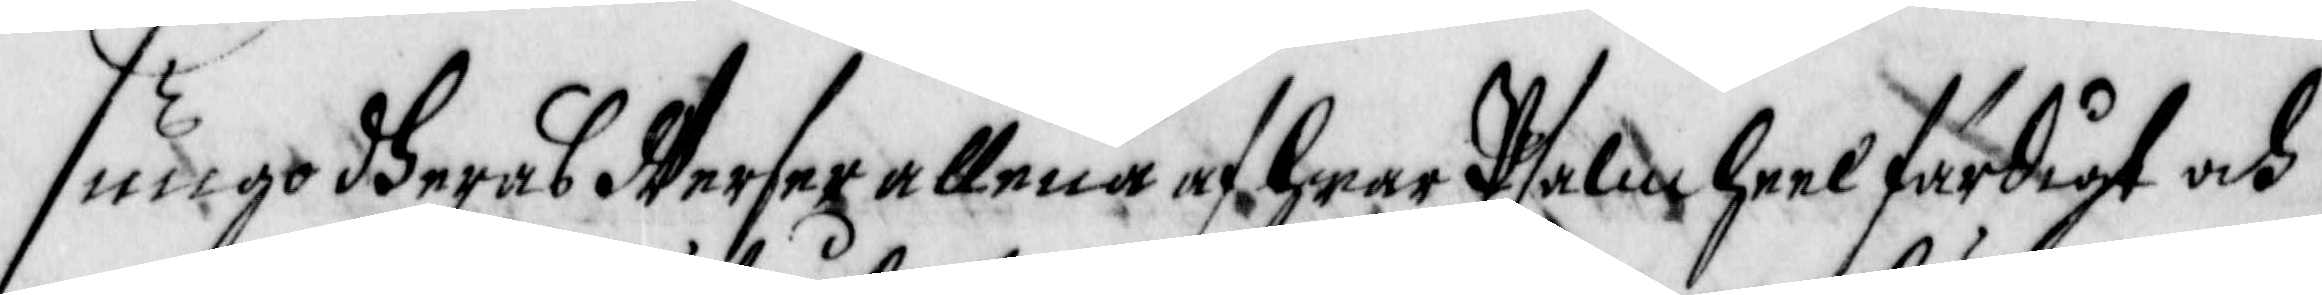siungo dheras Werser allena af hwar Psalm heel färdigt och
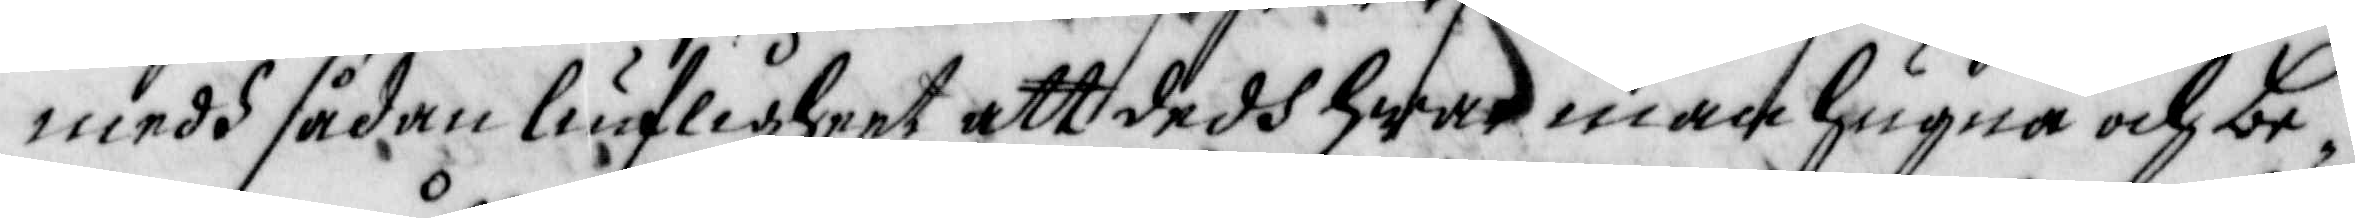medh sådan liufligheet att dedh hwar man hugna och be¬
